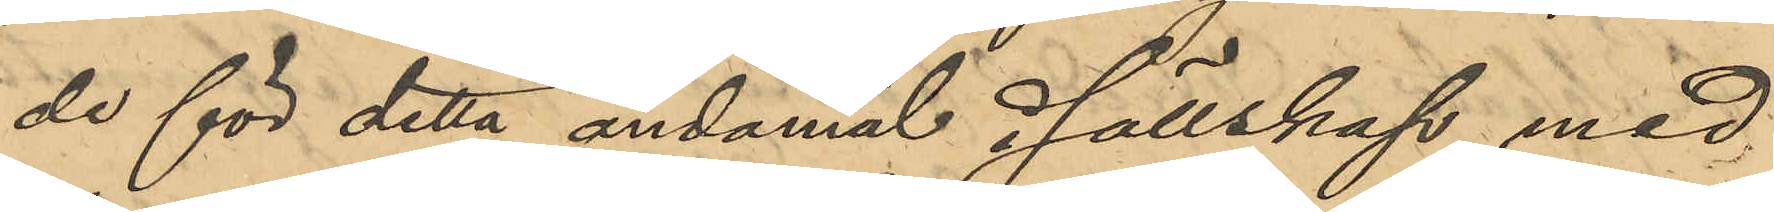de för detta ändamål i sällskap med
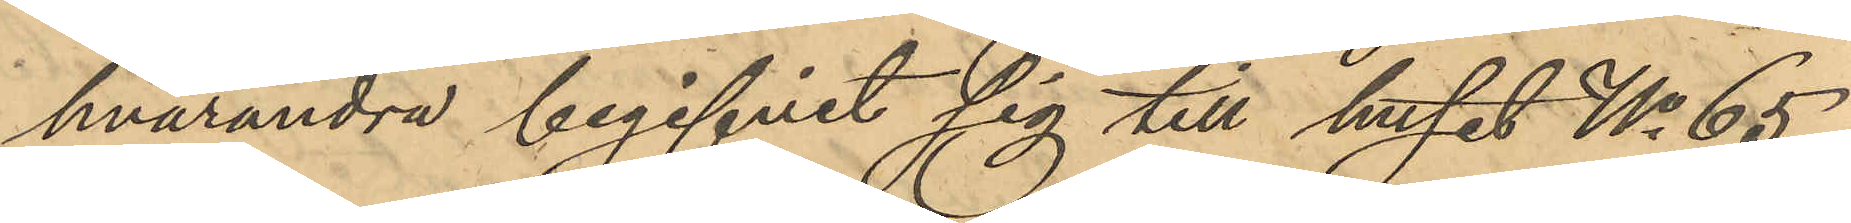hvarandra begifvit sig till huset No 65
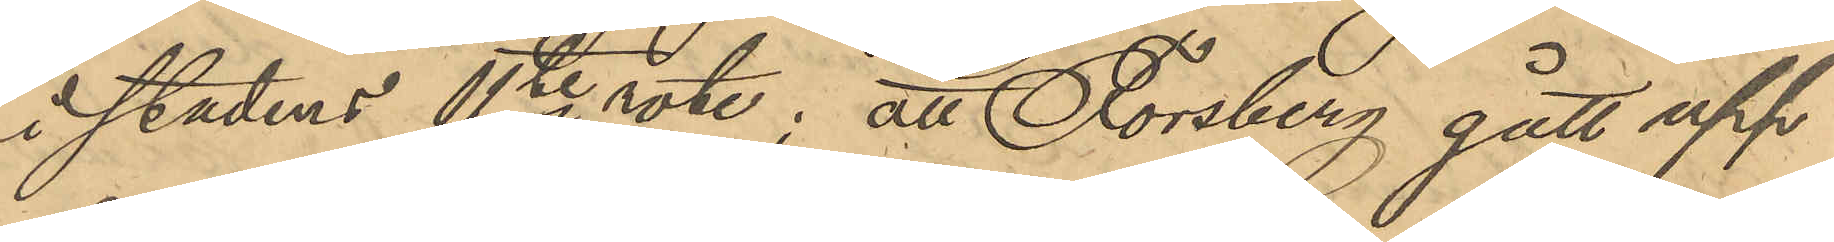i stadens 11te rote; att Forsberg gått upp¬
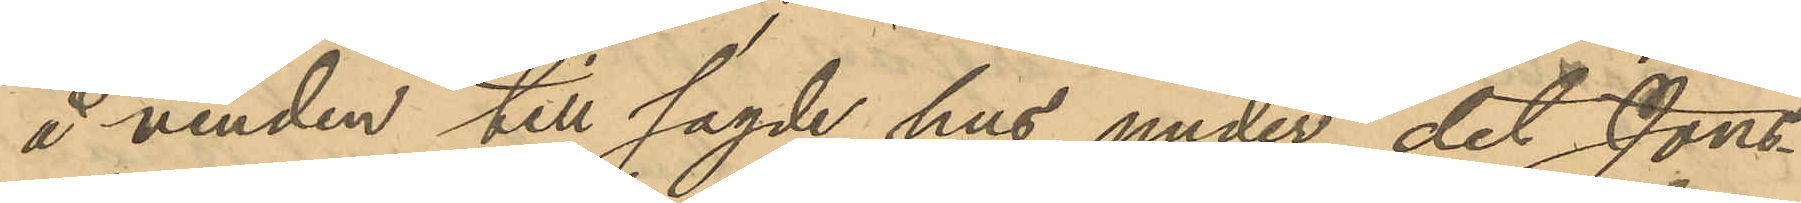å vinden till sagde hus under det Jons¬
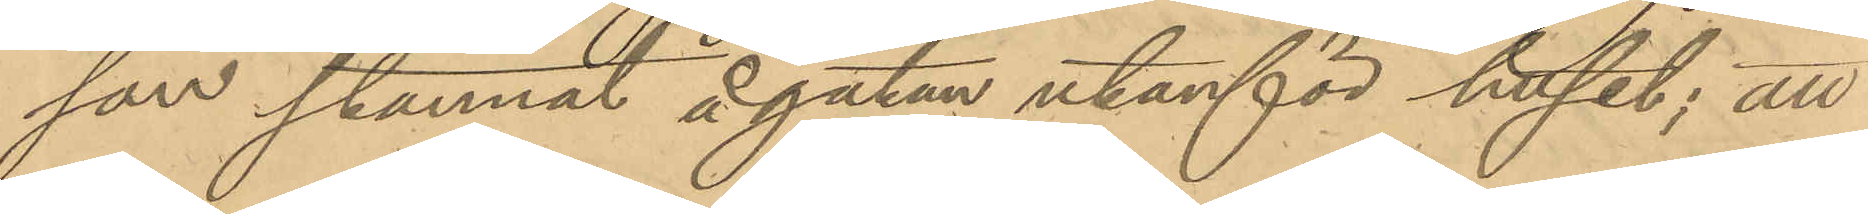son stannat å gatan utanför huset; att
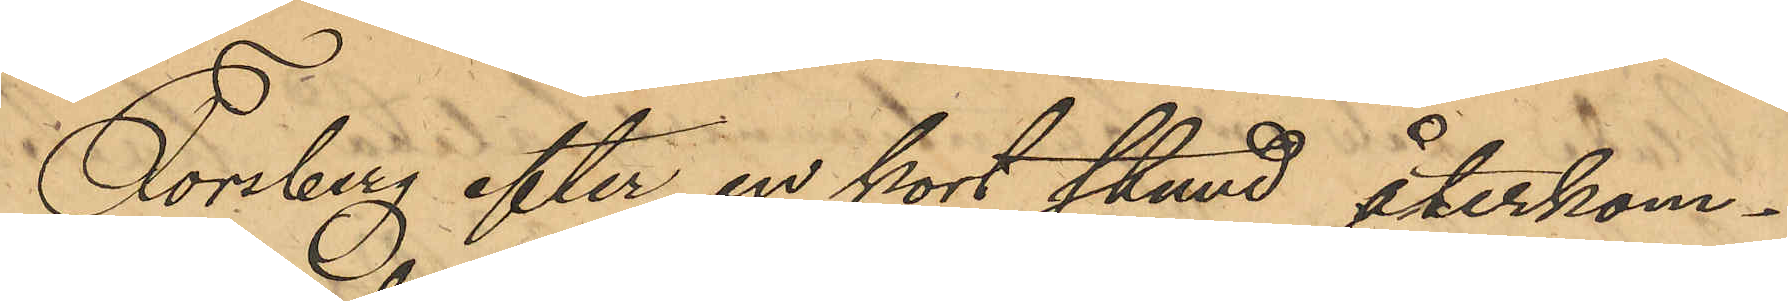Forsberg efter en kort stund återkom¬
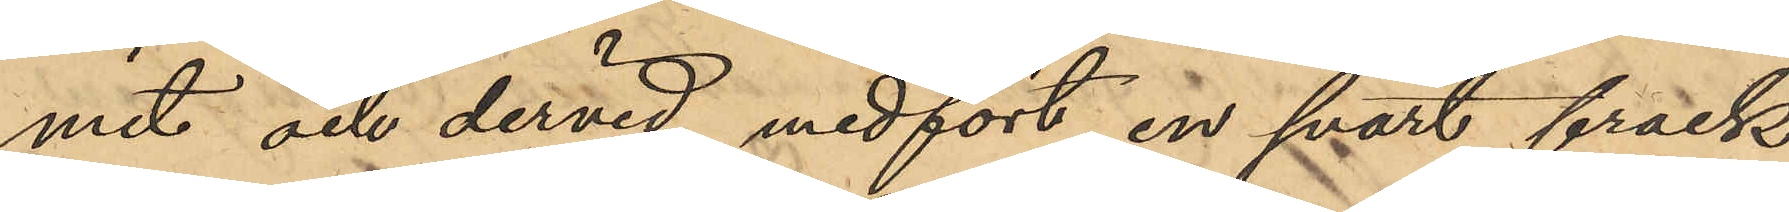mit och dervid medfört en svart frack
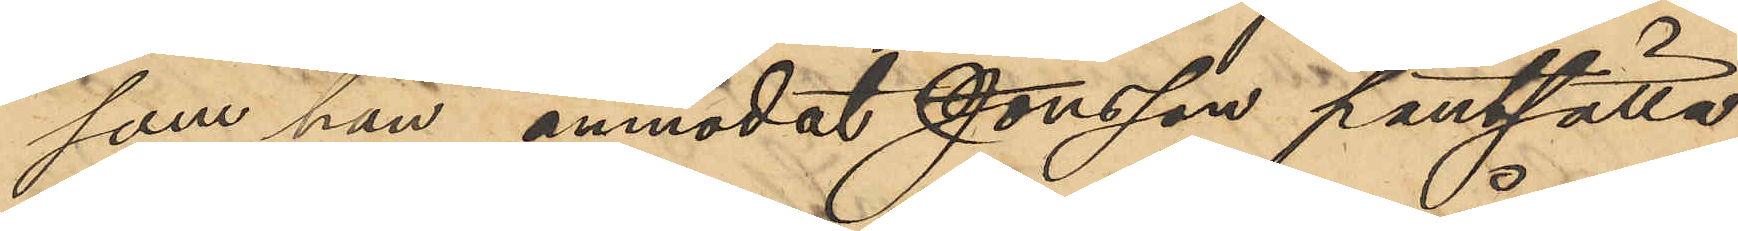som han anmodat Jonsson pantsätta,
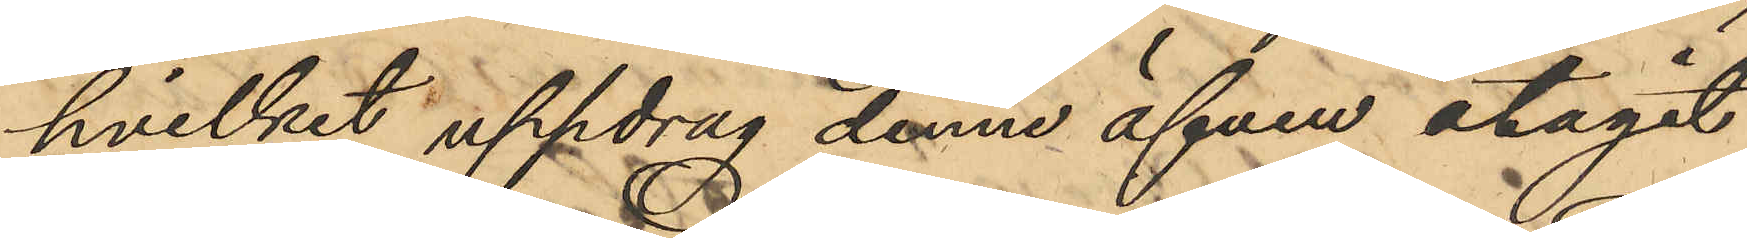hvilket uppdrag denne äfven åtagit
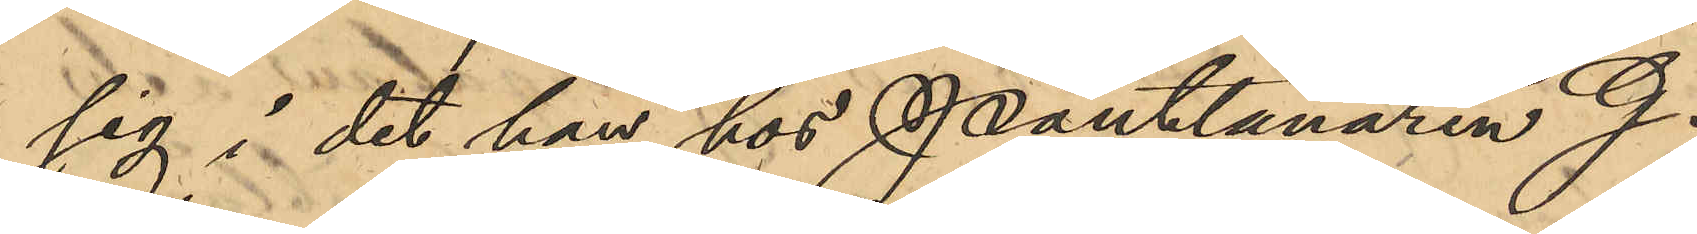sig i det han hos Pantlånaren G.
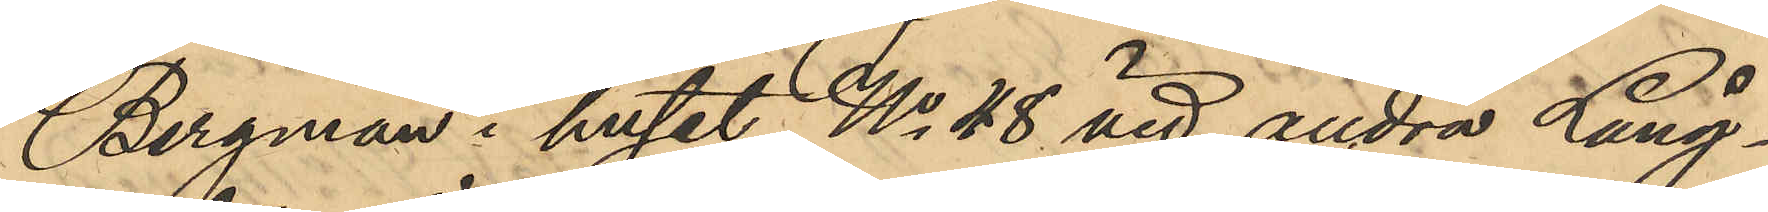Bergman i huset No 48 vid andra Lång¬
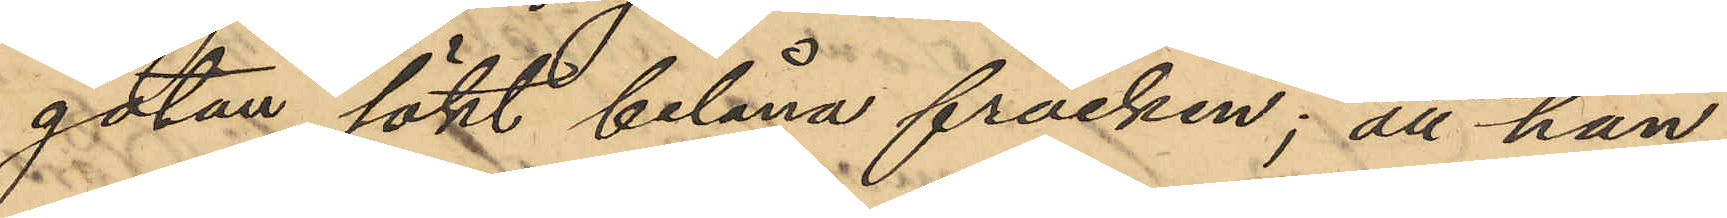gatan sökt belåna fracken; att han,
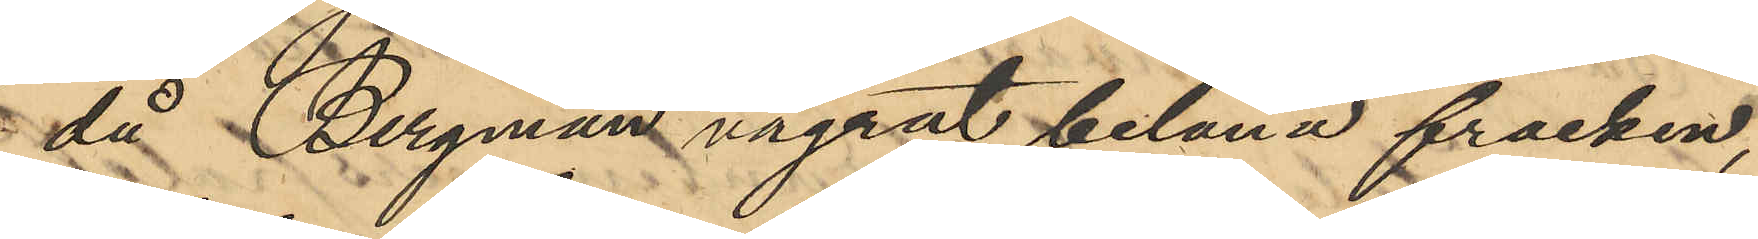då Bergman vägrat belåna fracken,
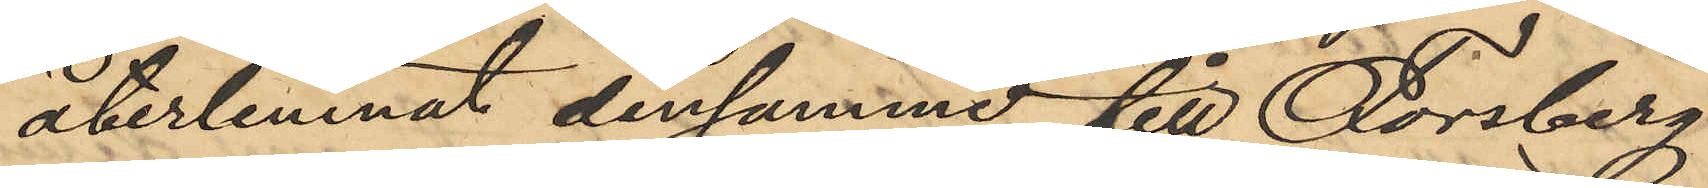återlemnat densamme till Forsberg
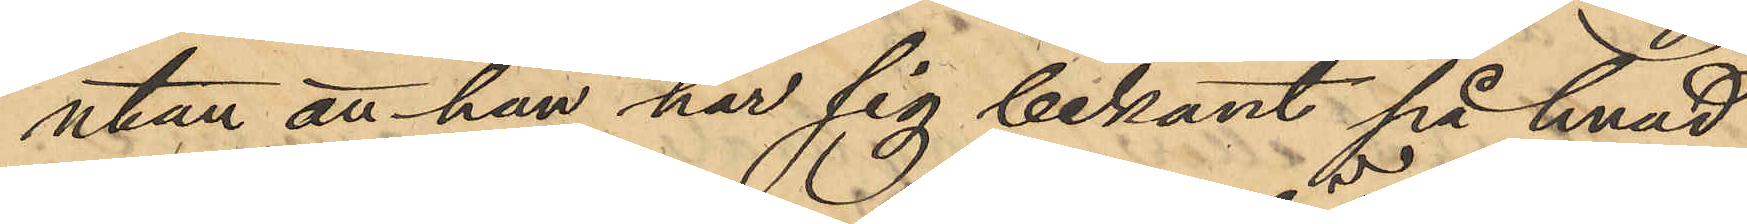utan att han har sig bekant på hvad
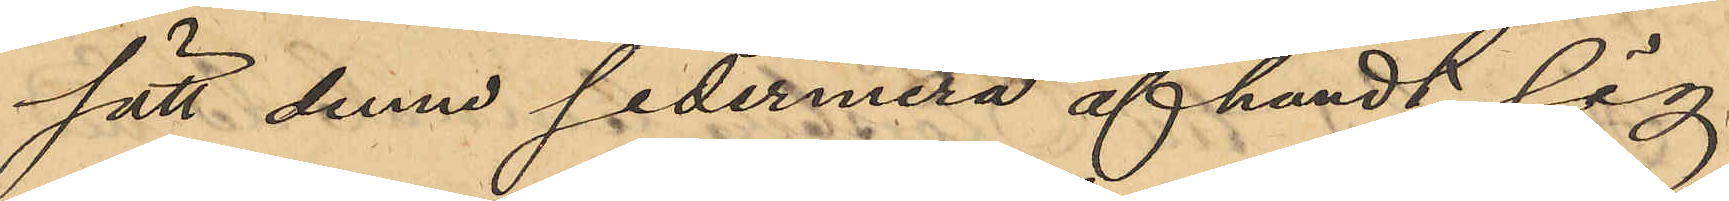sätt denne sedermera afhändt sig
